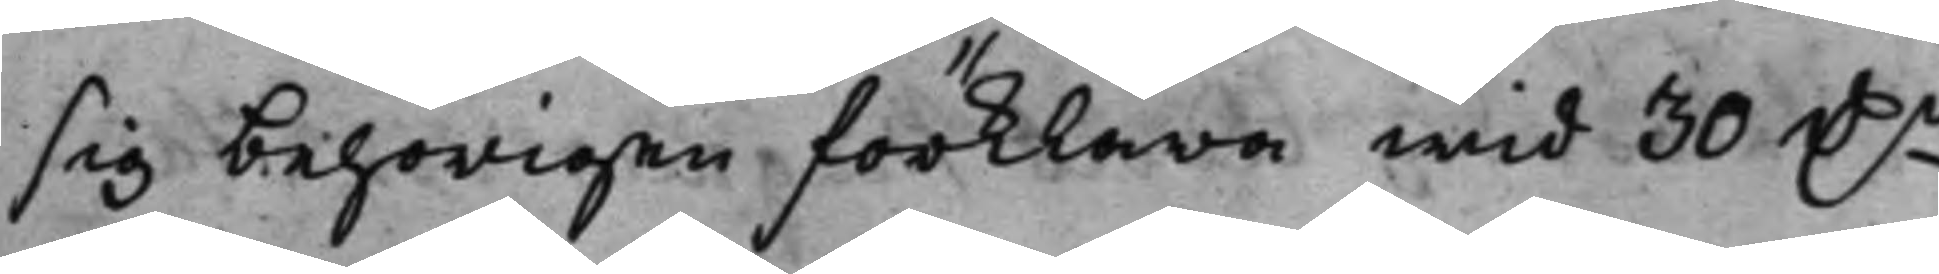sig behörigen förklara wid 30 D.r
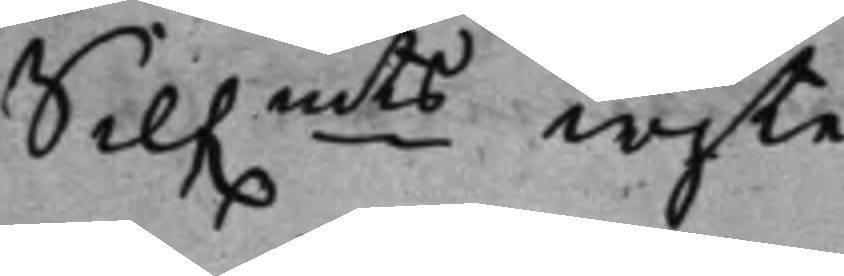Silf.mts wijte.
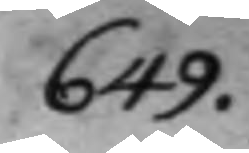649.
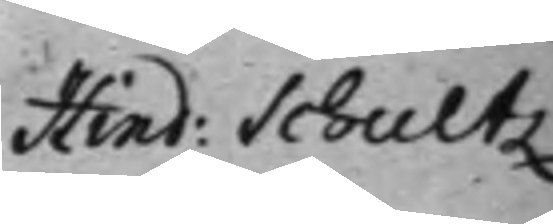Hind: Schultz 
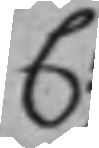C:
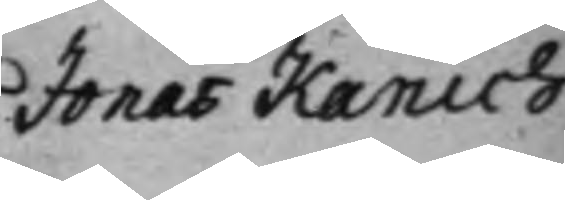Jonas Kanich
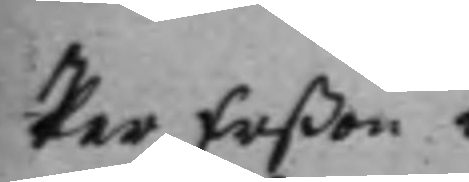Per Erßon i
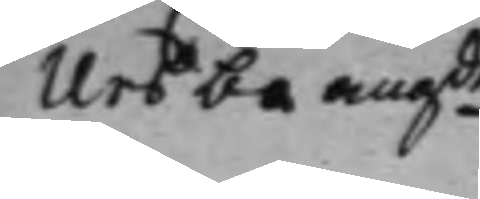Ursbo angde
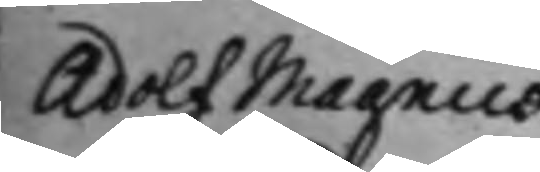Adolf Magnus
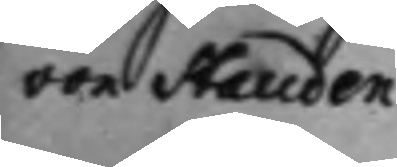von Stauden
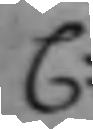C:
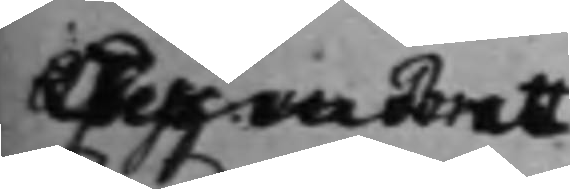Joh: von Bratt
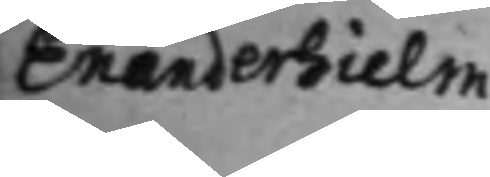Enanderhielm
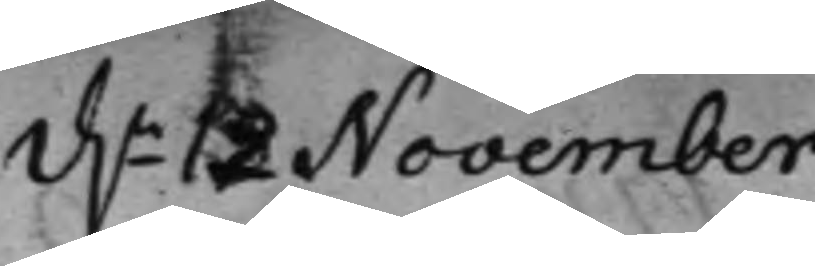d.n 12 November
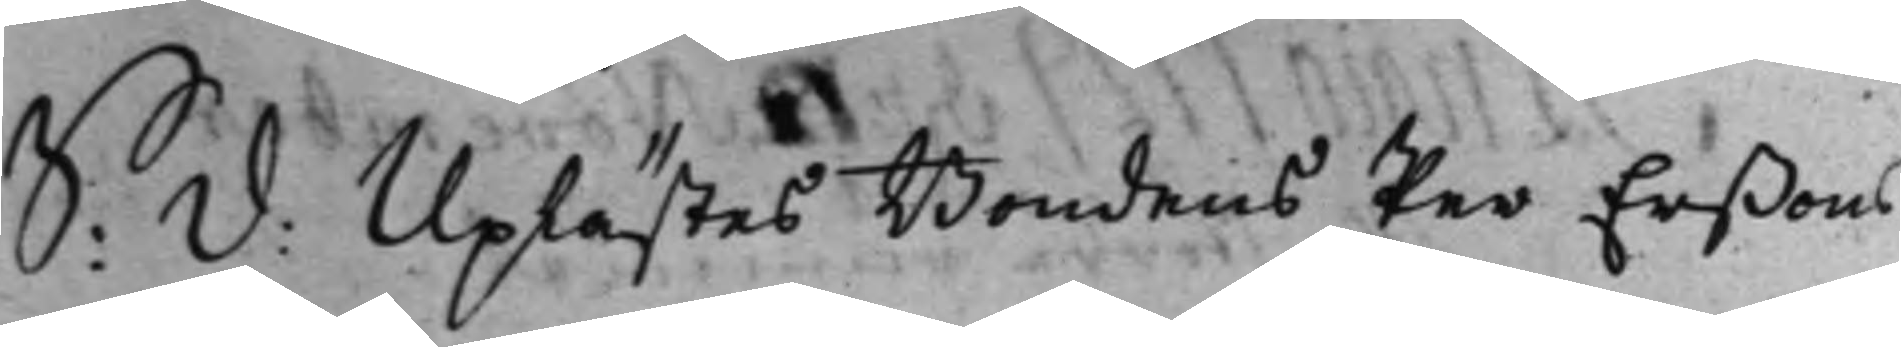S: D: Uplästes Bondens Per Erßons
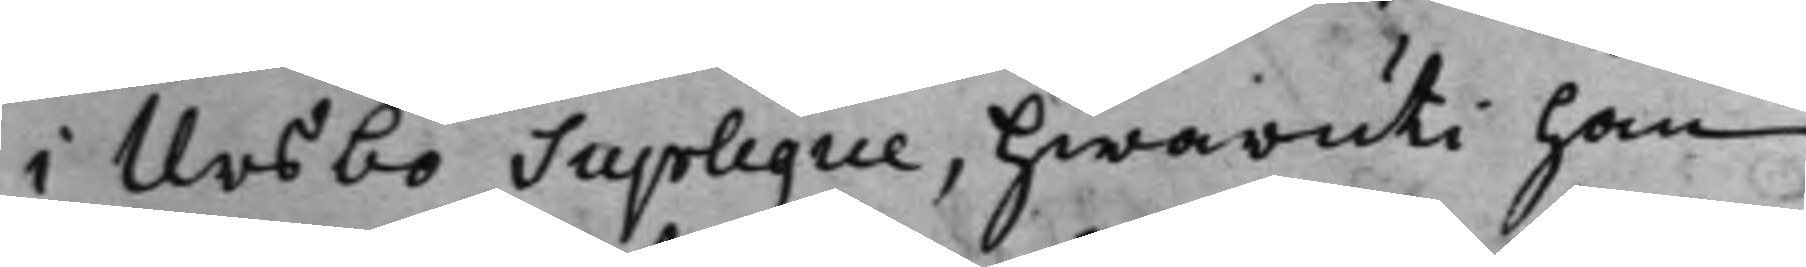i Ursbo Suplique, hwaruti han
